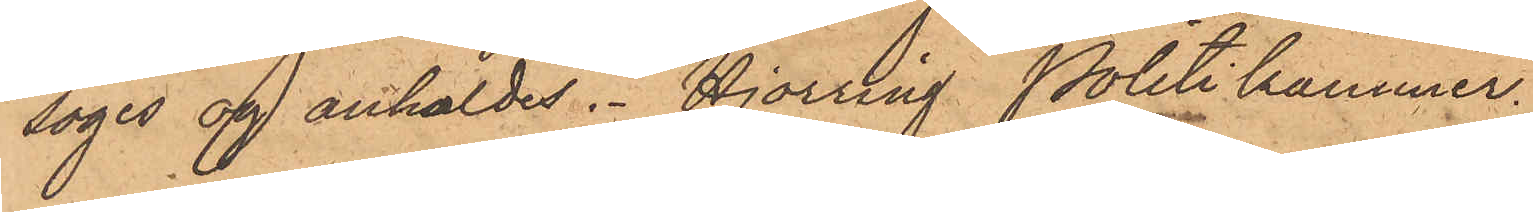söges og anholdes. Hjorring Politikammer.
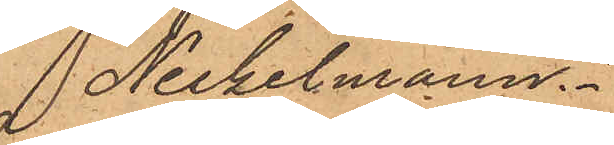 Neckelmann."
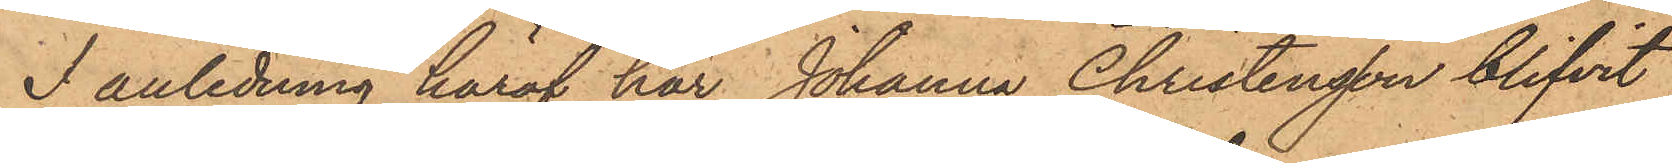I anledning häraf har Johanna Christensson blifvit
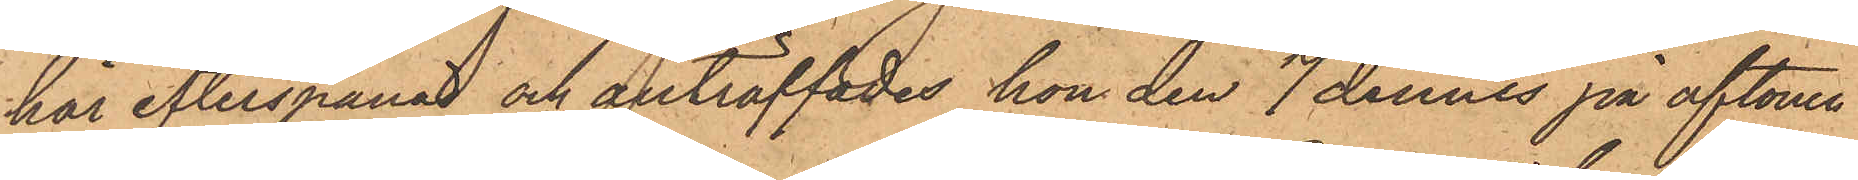här efterspanad och anträffades hon den 7 dennes på aftonen
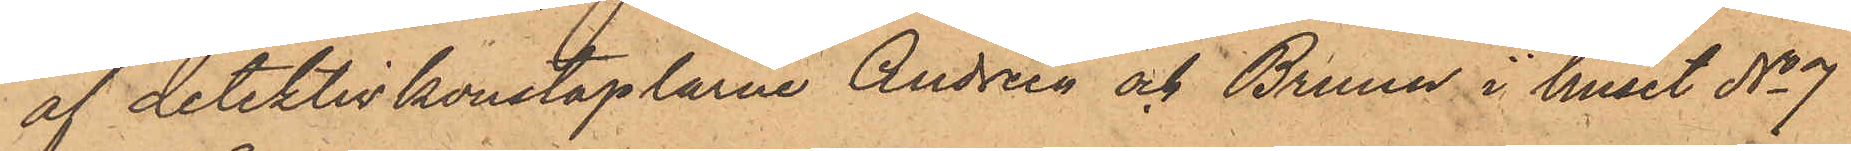af detektivkonstaplarne Andrén och Bruun i huset No 7
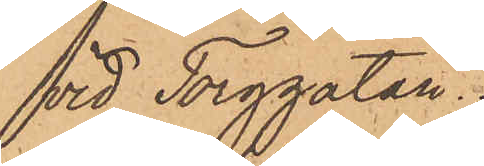vid Torggatan.
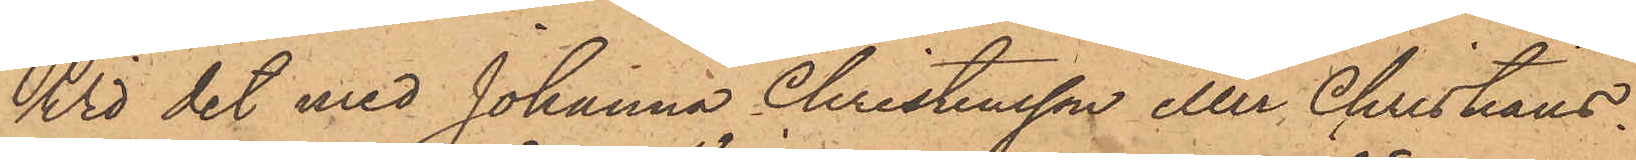Wid det med Johanna Christensson eller Christians¬
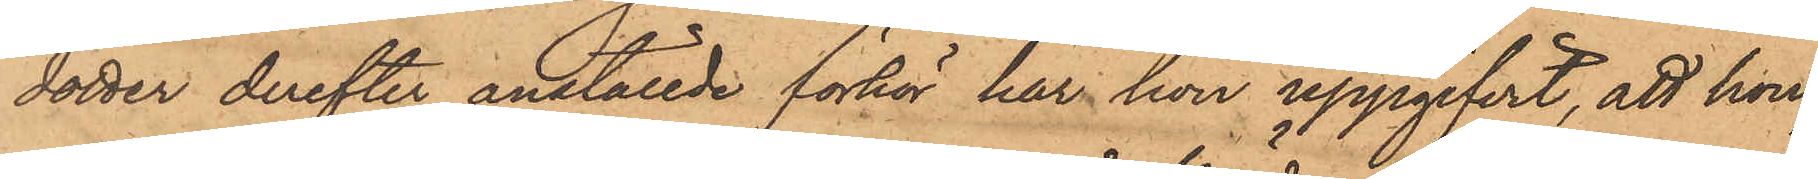dotter derefter anställde förhör har hon uppgifvit, att hon,
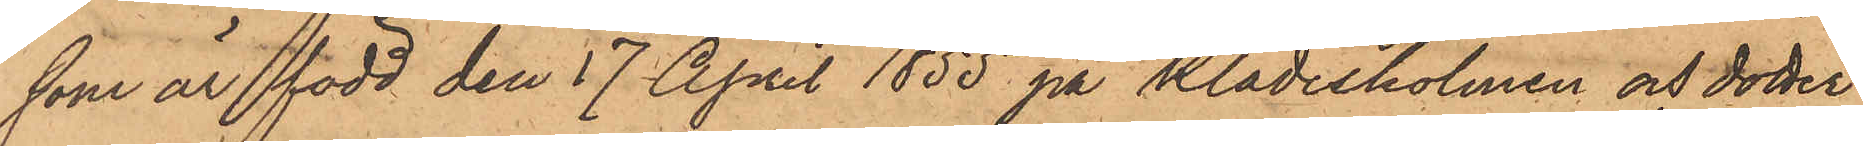som är född den 17 April 1855 på Klädesholmen och dotter
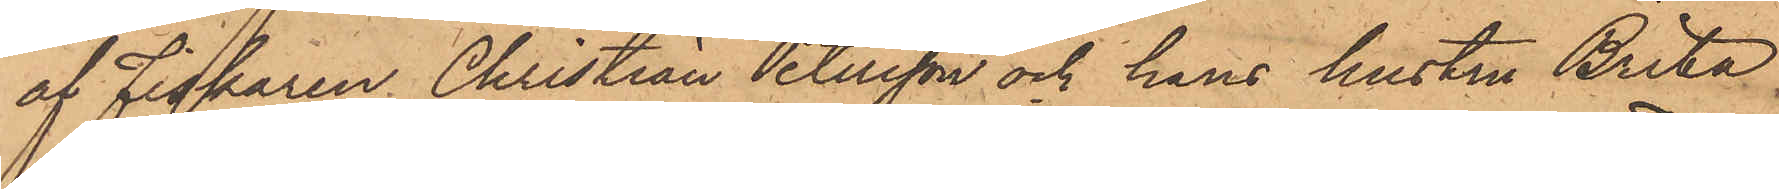af Fiskaren Christian Petersson och hans hustru Brita
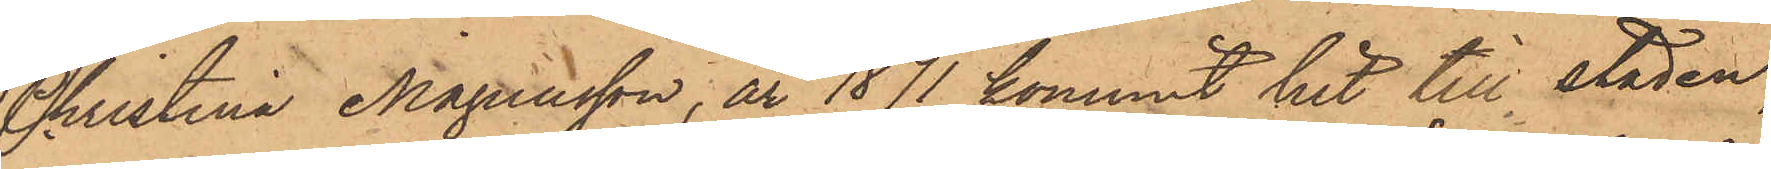Christina Magnusson, år 1871 kommit hit till staden,
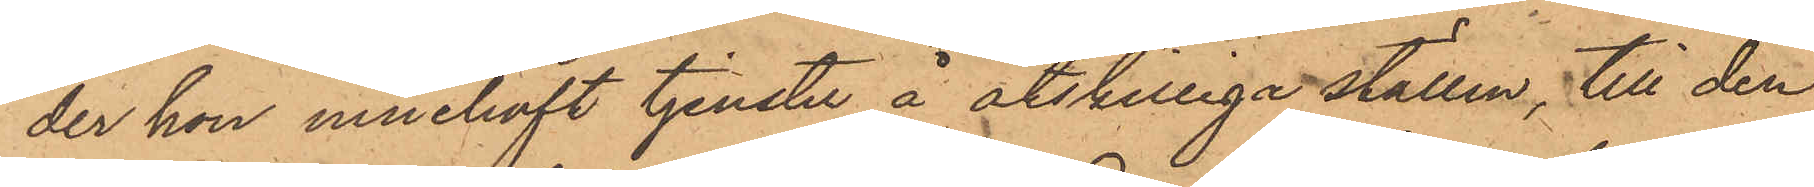der hon innehaft tjenster å åtskilliga ställen, till den
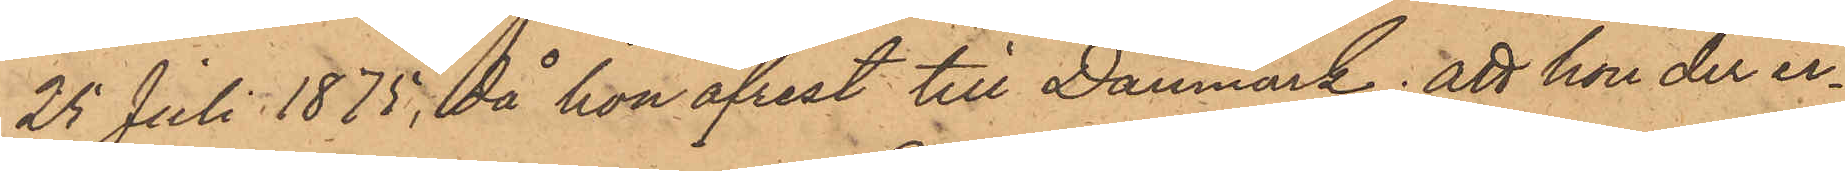25 Juli 1875, då hon afrest till Danmark; att hon der er¬
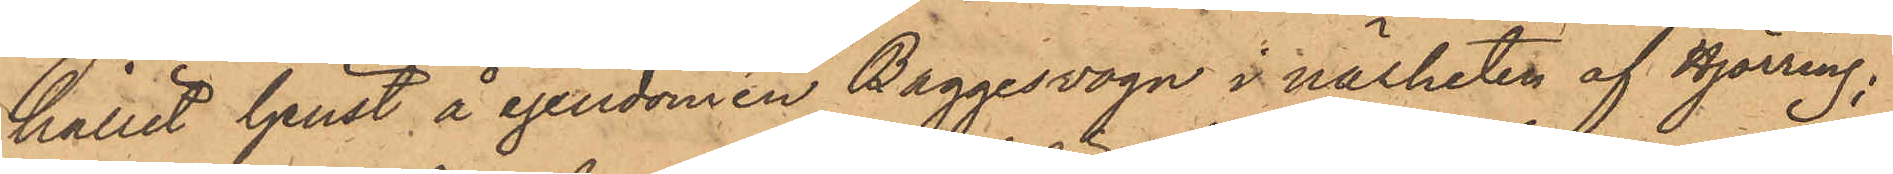hållit tjenst å egendomen Baggesvogn i närheten af Hjörring;
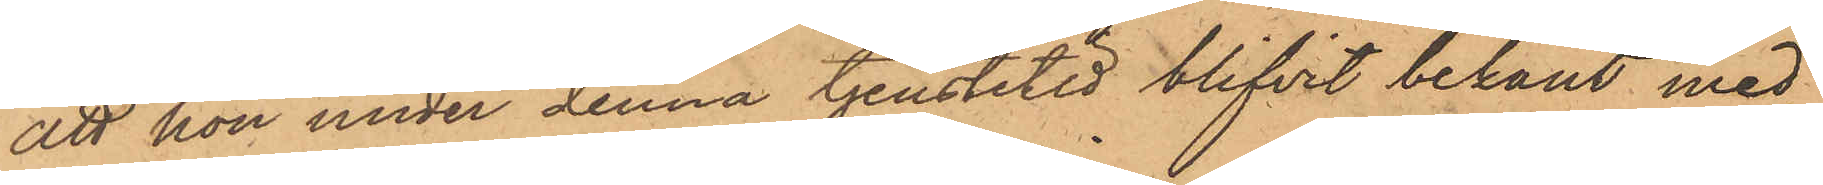att hon under denna tjenstetid blifvit bekant med
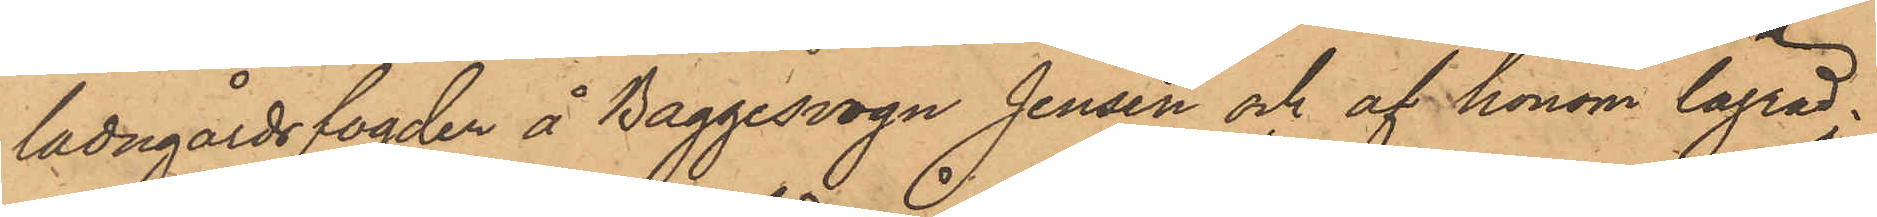ladugårdsfogden å Baggesvogn Jensen och af honom lägrad.
